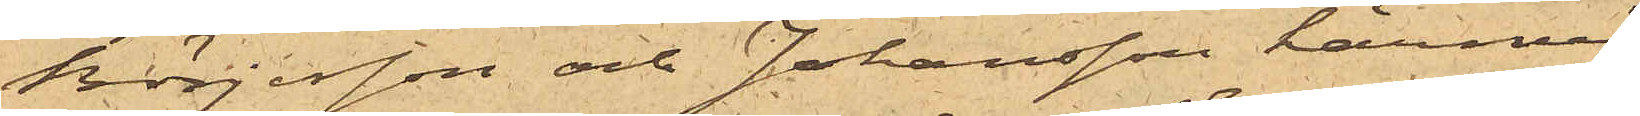Börjesson och Johansson härmed
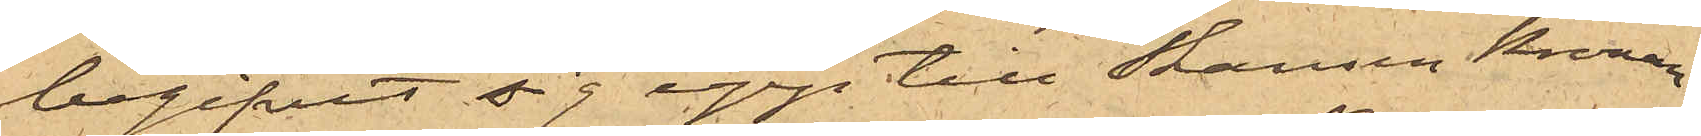begifvit sig upp till Skansen Kronan,
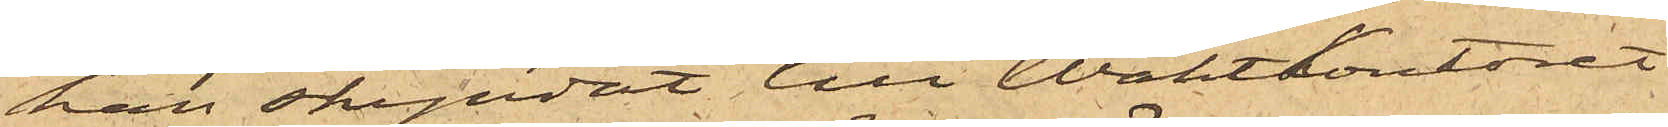han skyndat till WaktKontoret i
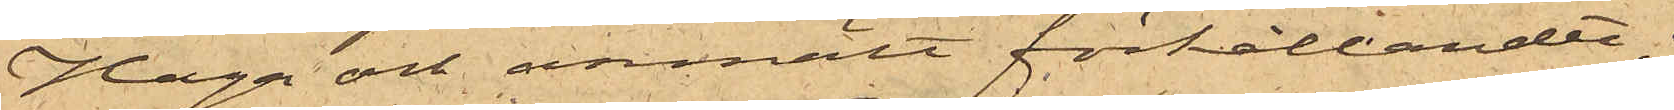Haga och anmält förhållandet;
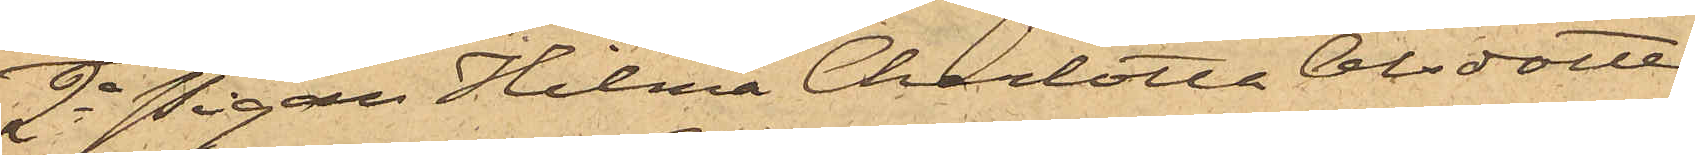2o Pigan Hilma Charlotta Olsdotter
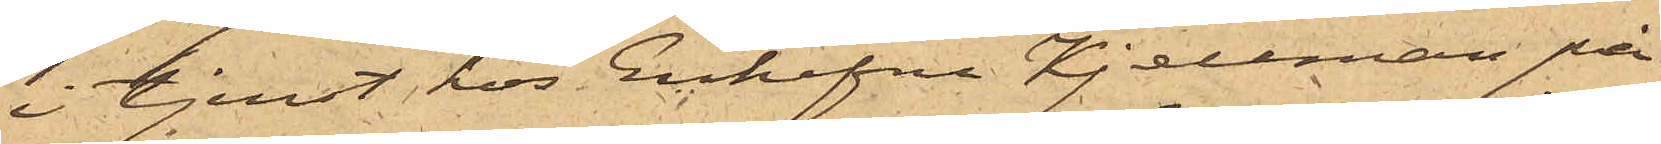i tjenst hos Enkefru Kjellman på
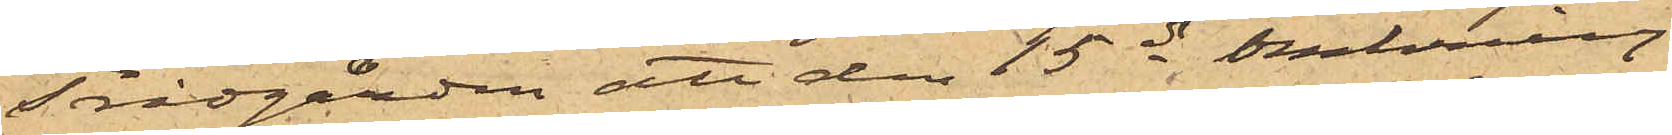Trädgården att den 15 ds omkring
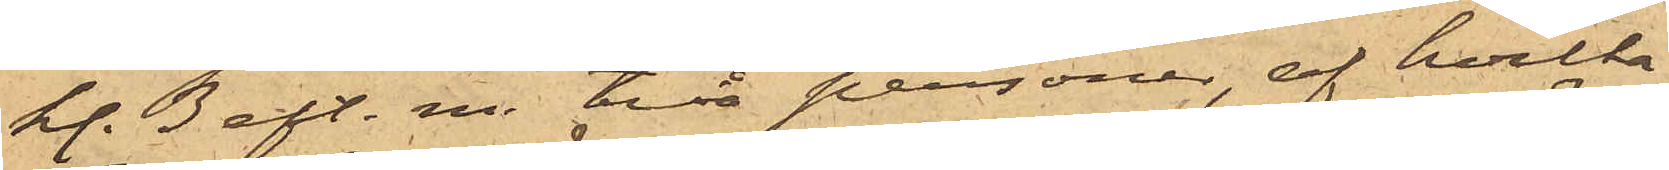kl. 3 eft. m. två personer, af hvilka
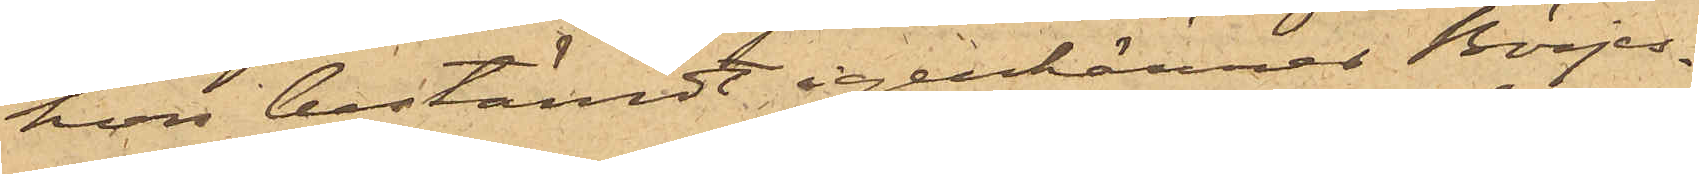hon bestämdt igenkänner Börjes¬
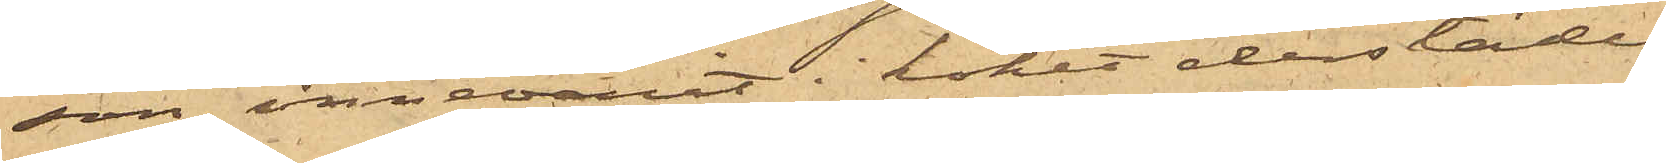son, innevarit i köket derstädes
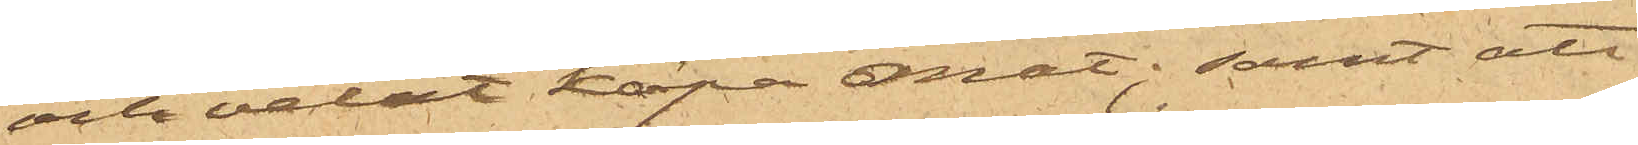och velat köpa mat; samt att
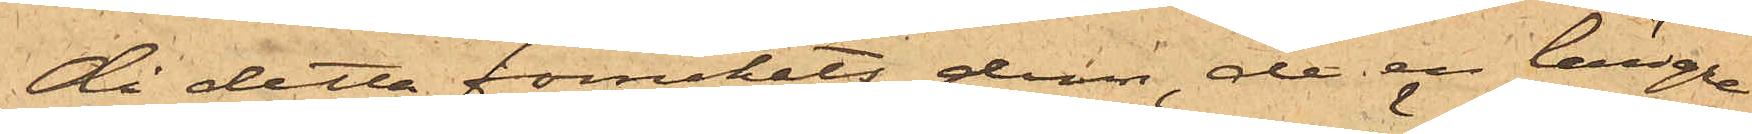då detta förnekats dem, de en längre
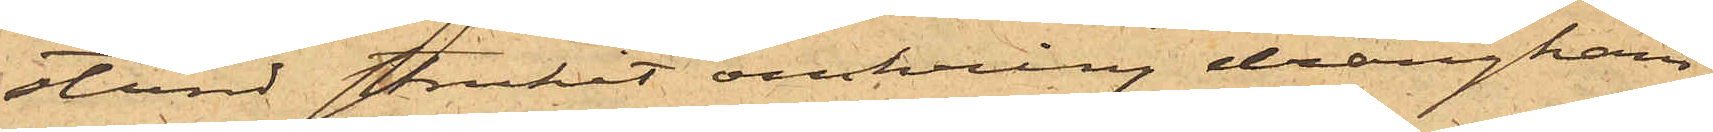stund strukit omkring drängkam¬
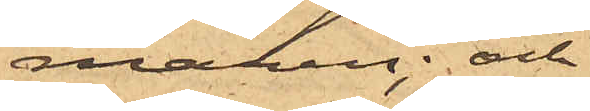maren; och
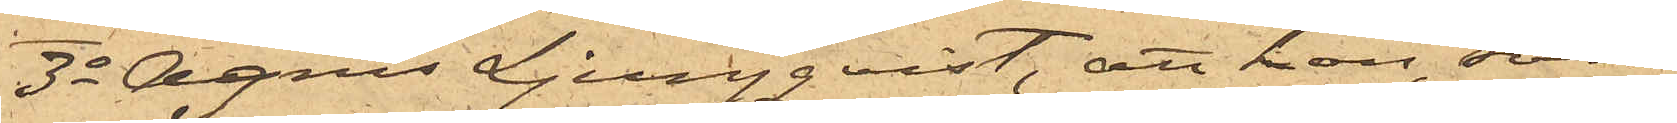3o Agnes Ljungqvist, att hon, som
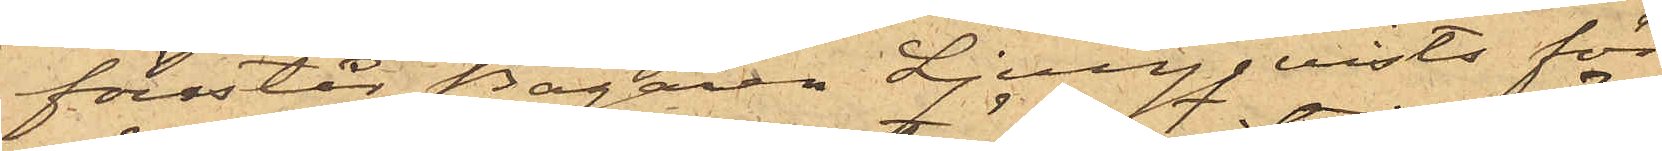förestår Bagaren Ljungqvists för¬
